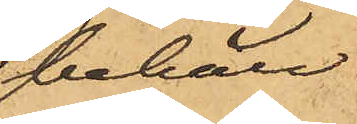i behåll
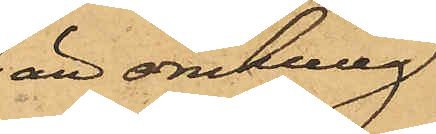än omkring
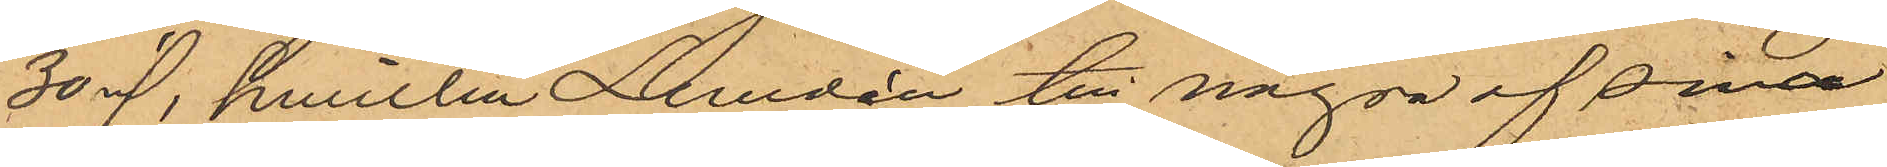30 rd, hwilka Lundén till någon af sina
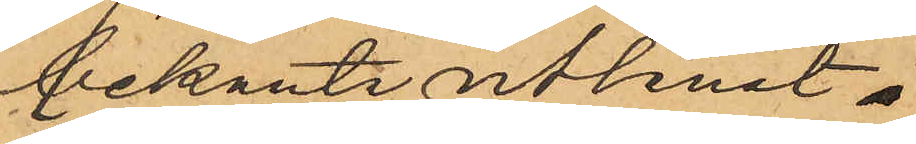bekanta utlånat.
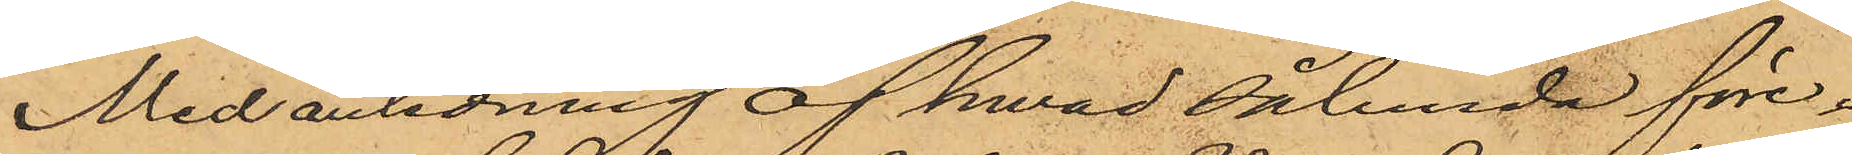Med anledning af hwad sålunda före¬
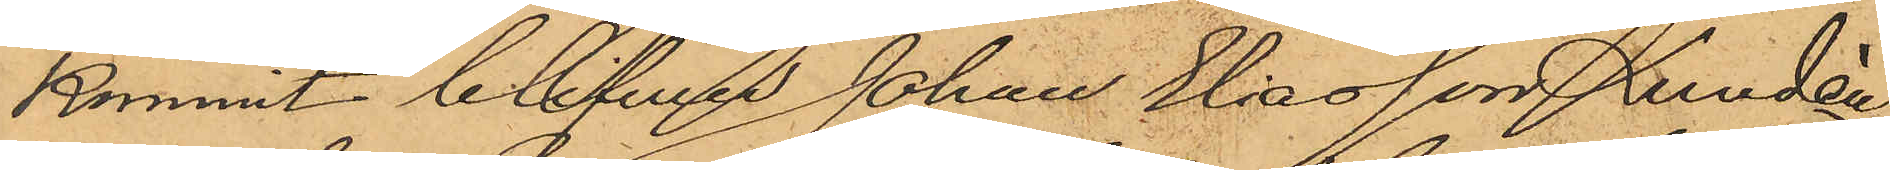kommit blifwer Johan Eliasson Lundén,
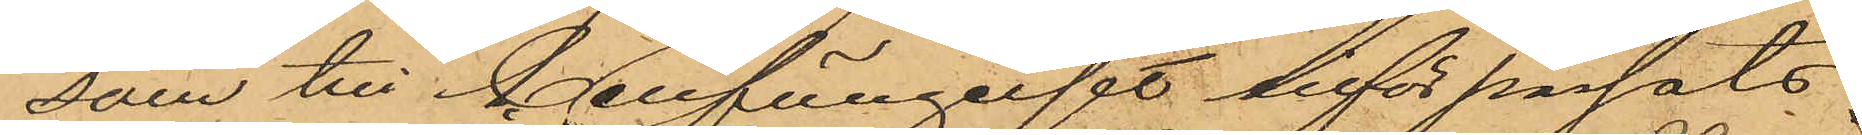som till Cellfängelset införpassats
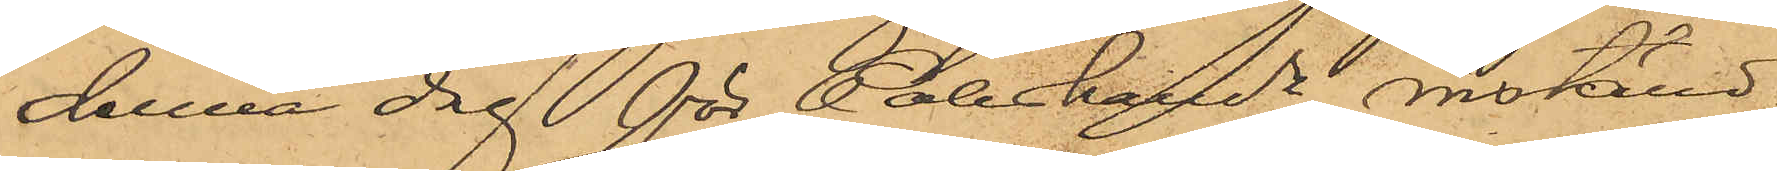denna dag för Poliskamn inställd.
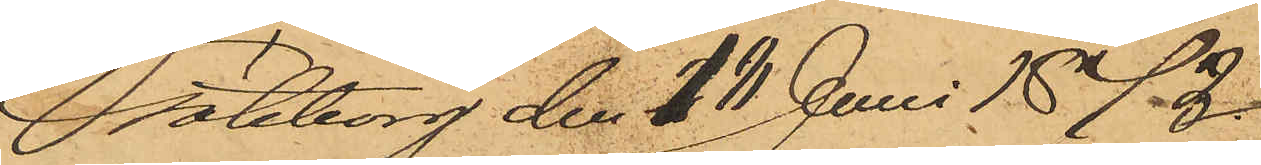Göteborg den 18 Juni 1872.
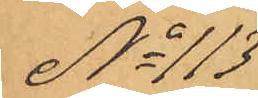No 113
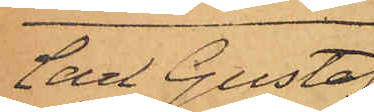Carl Gustaf
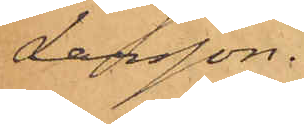Larsson.
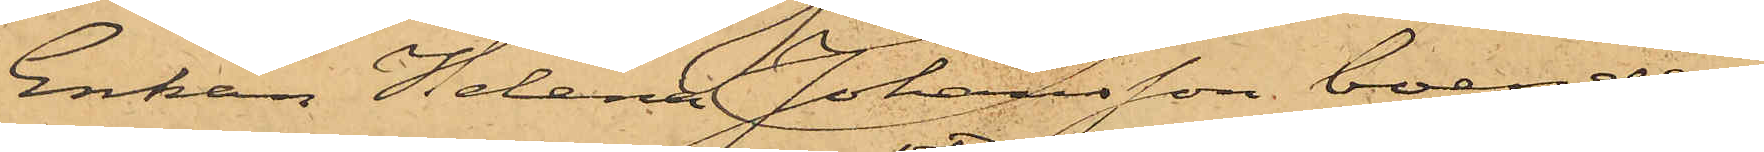Enkan Helena Johansson, boende i
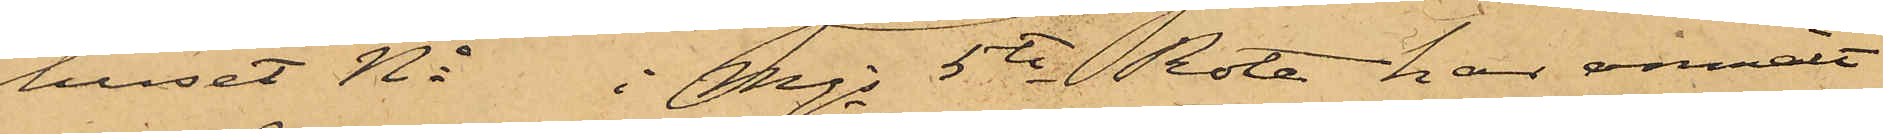huset No i Mjs 5te Rote, har anmält
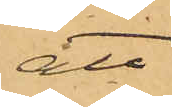att
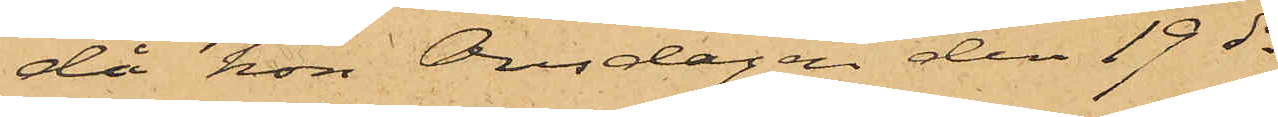då hon Onsdagen den 19 ds
